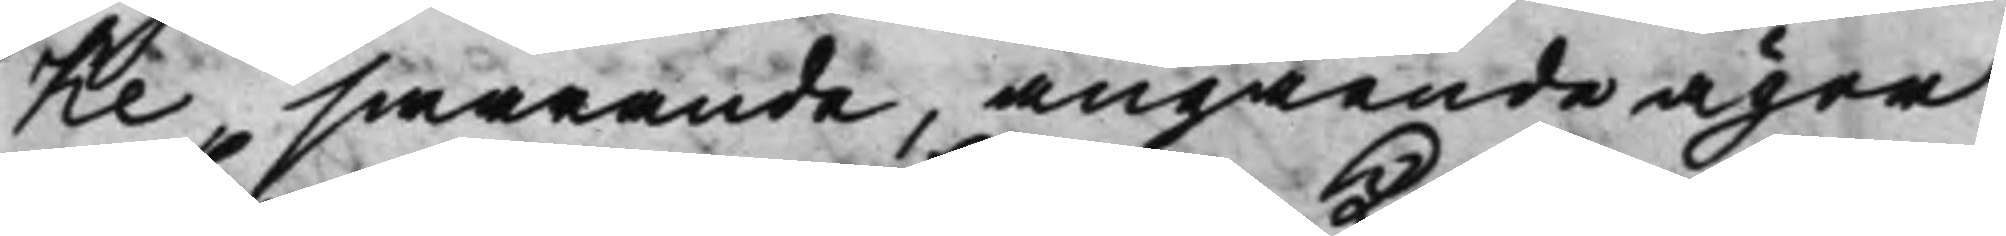ke, swarande, angående ägor
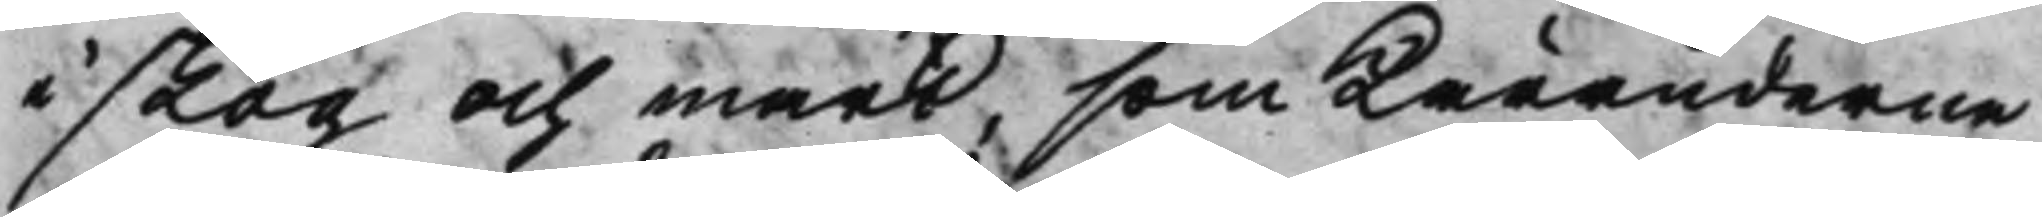i skog och mark, som Käranderne
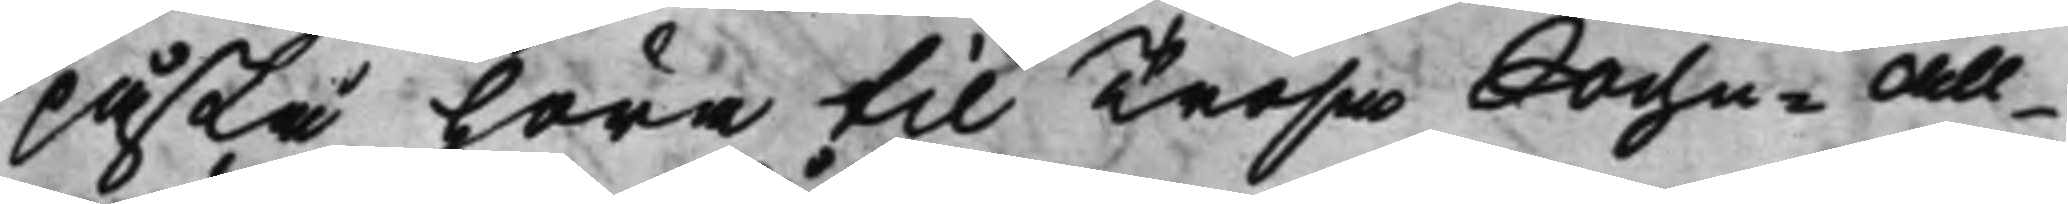påstå höra til Trosa Sochn-All¬
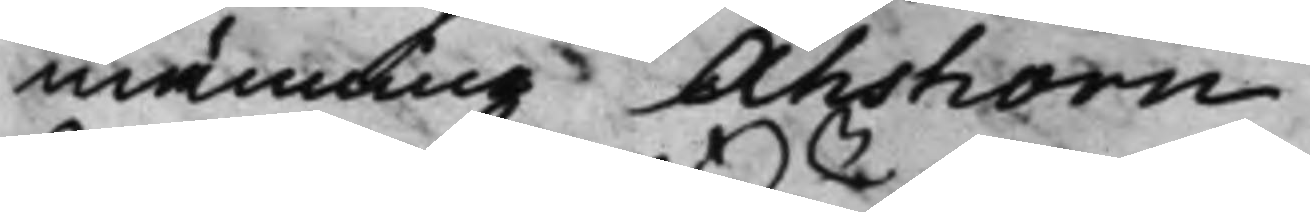männing Åhshorn.
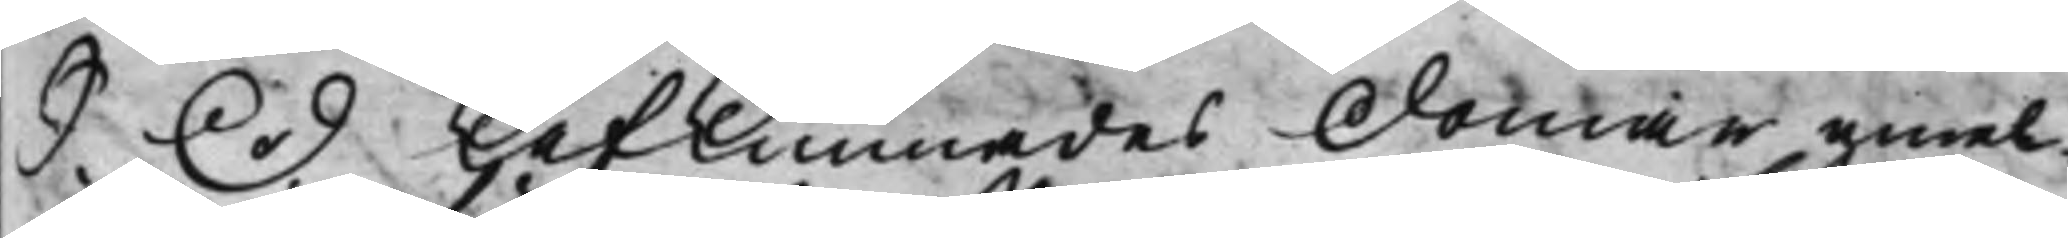S. D. Afkunnades Domar emel¬
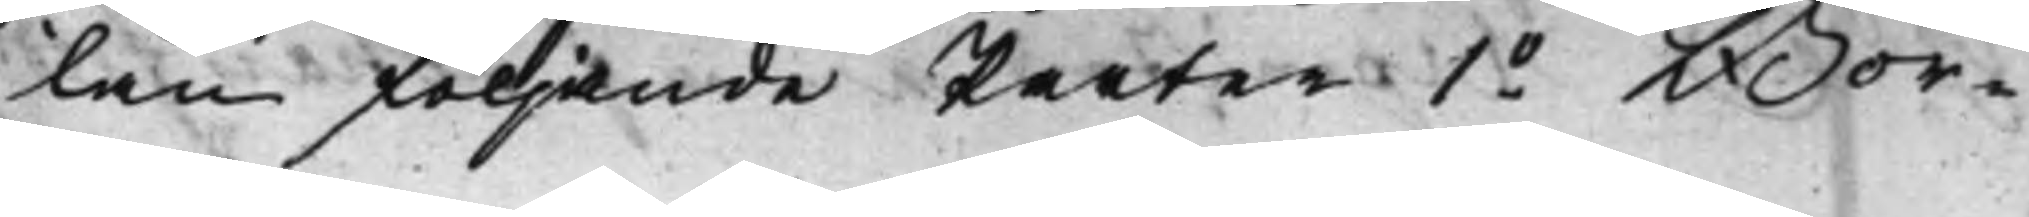lan följande Parter 1o Bor¬
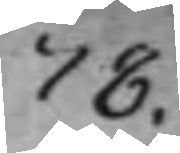78.
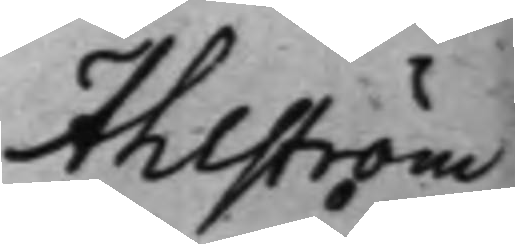Ahlström
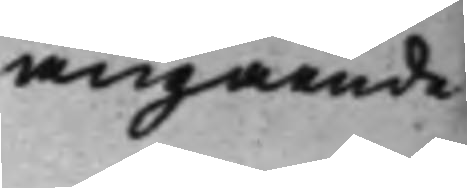angående
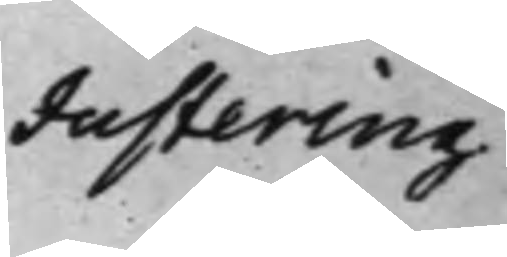Justering
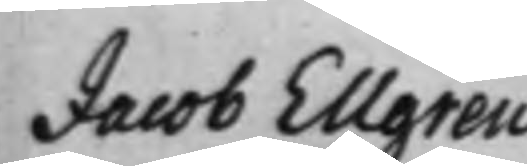Jacob Ellgren
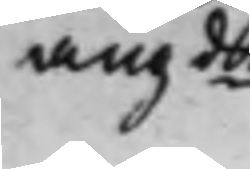angde
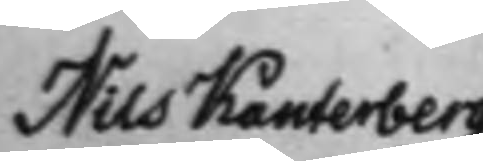Nils Kanterberg
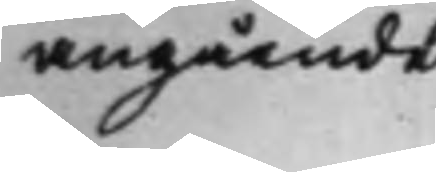angående
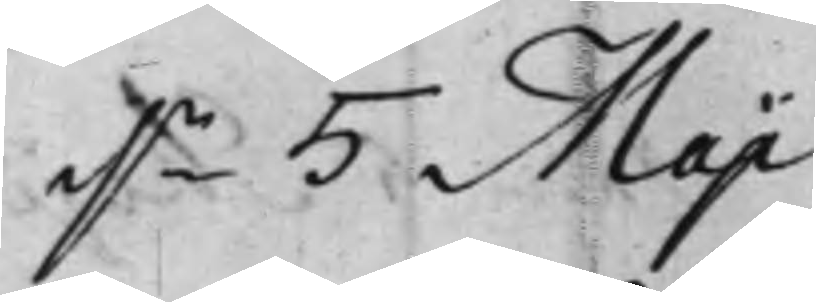d.n 5 Maji
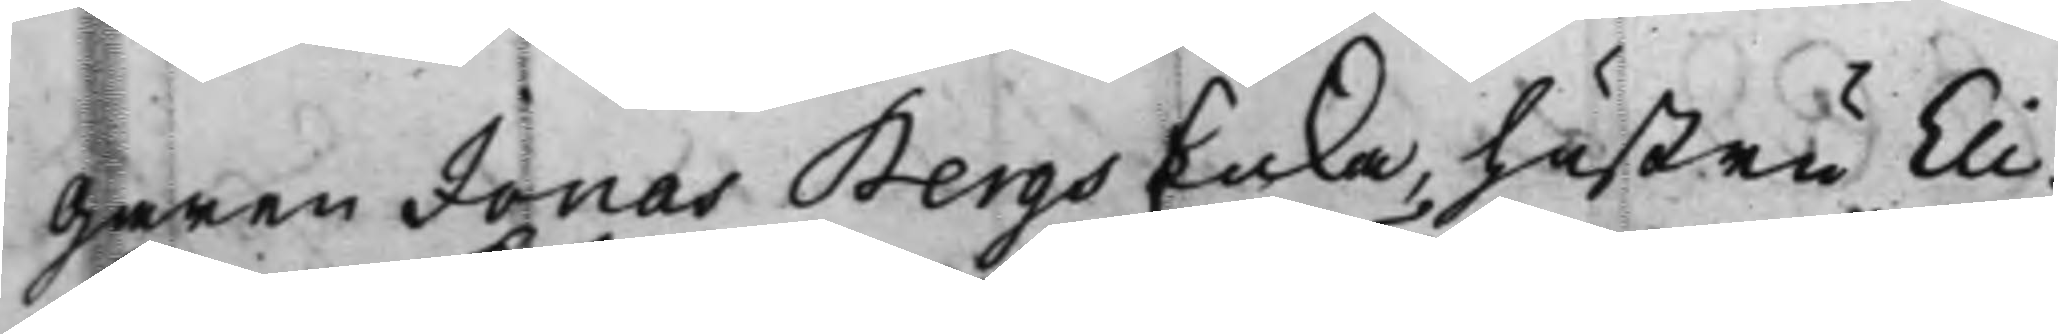garen Jonas Bergs Enka, hustru Eli¬
